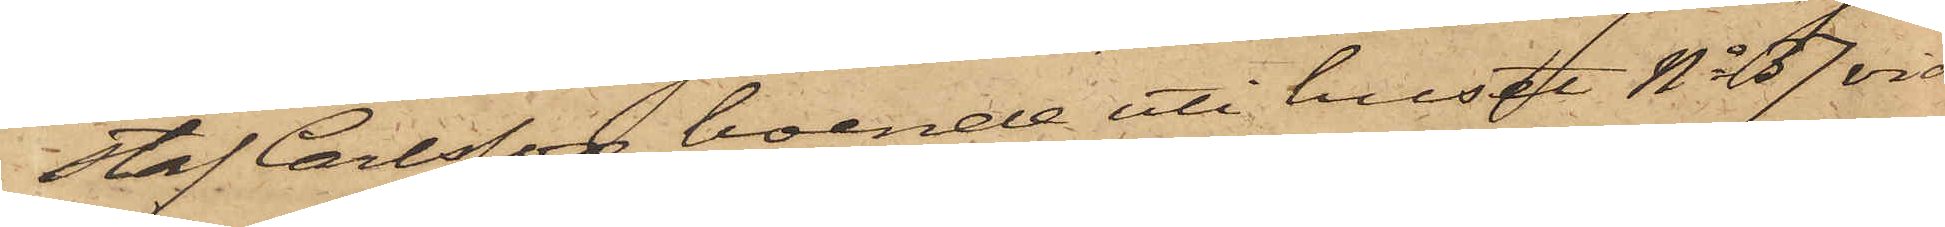staf Carlsson, boende uti huset No 37 vid
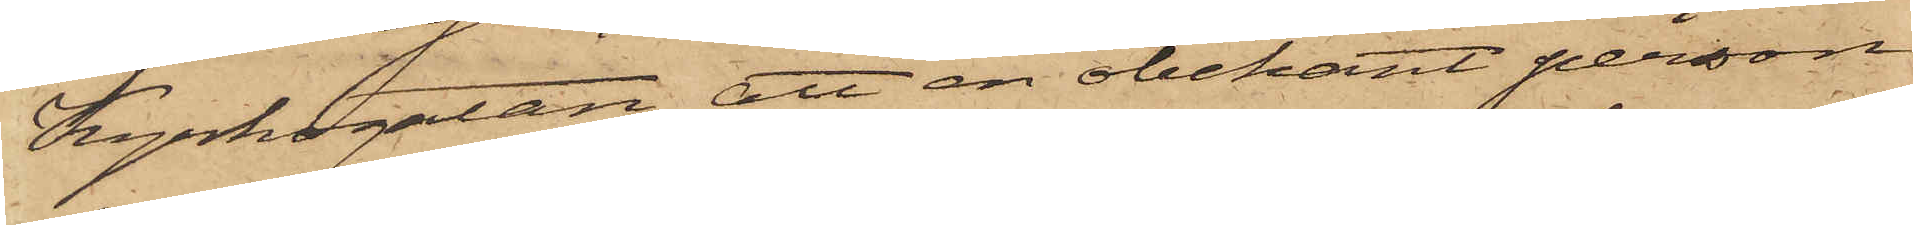Kyrkogatan, att en obekant person,
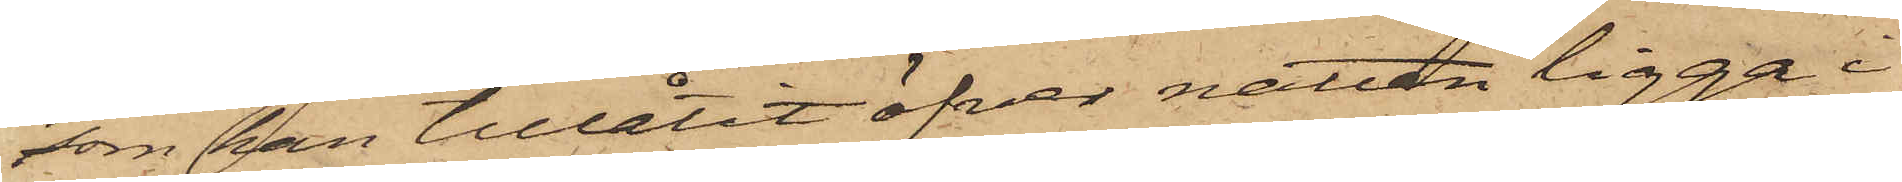som han tillåtit öfver natten ligga i
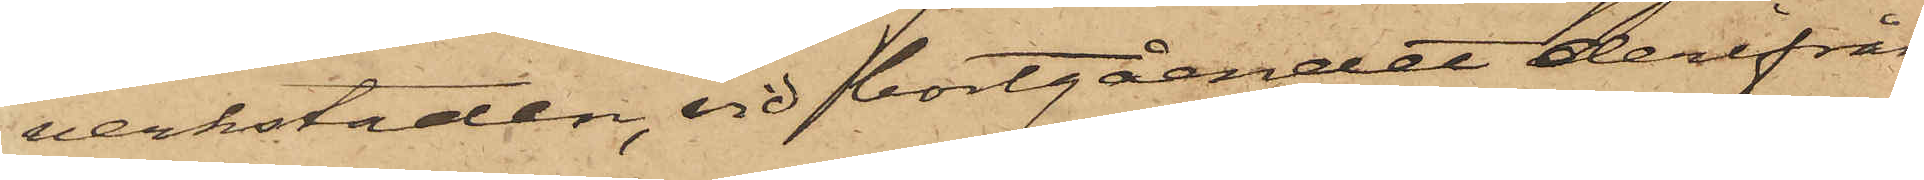verkstaden, vid bortgåendet derifrån
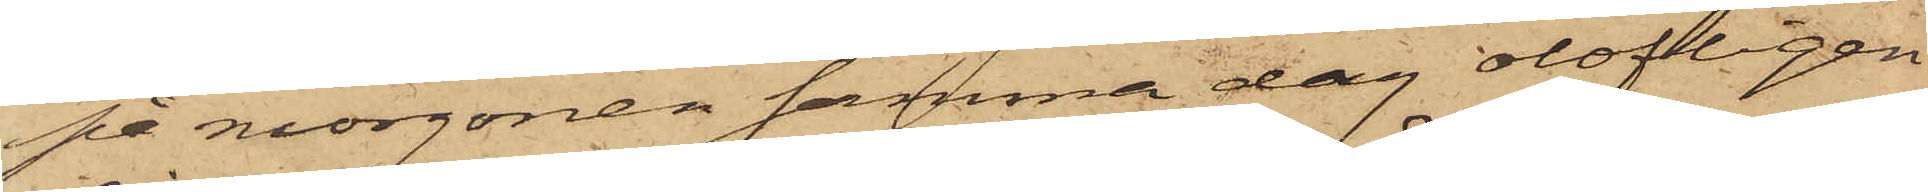på morgonen samma dag olofligen
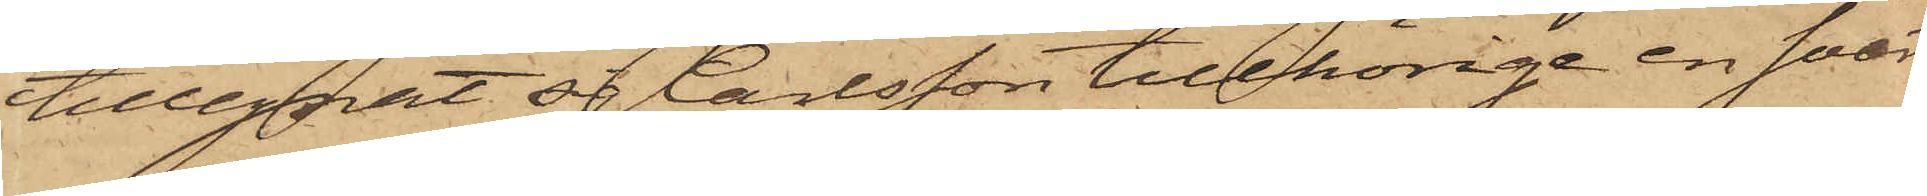tillegnat sig Carlsson tillhörige en svart
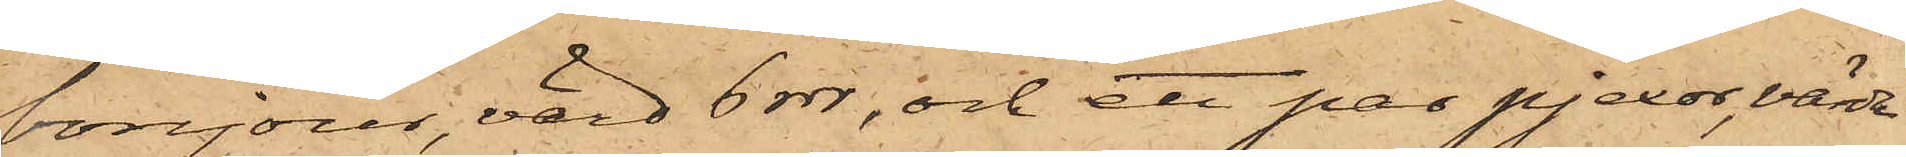bonjour, värd 6 rdr; och ett par pjexor, värda
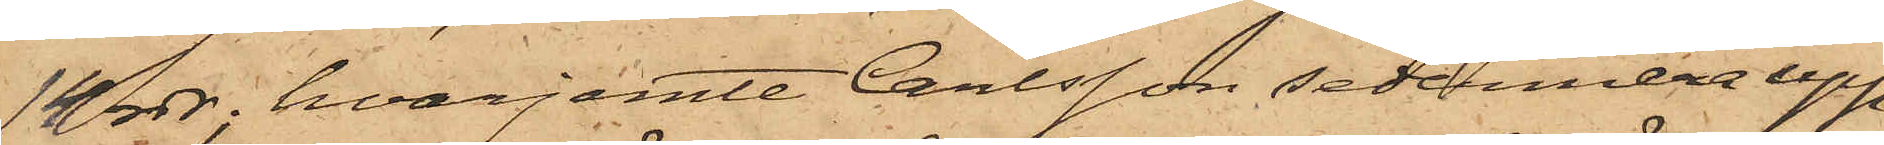14 rdr, hvarjemte Carlsson sedermera upp¬
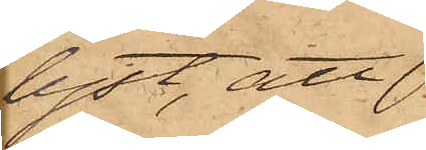lyst, att
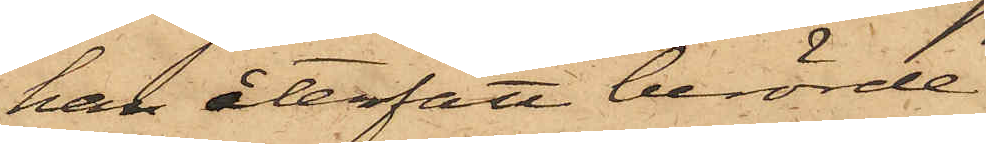han återfått berörde
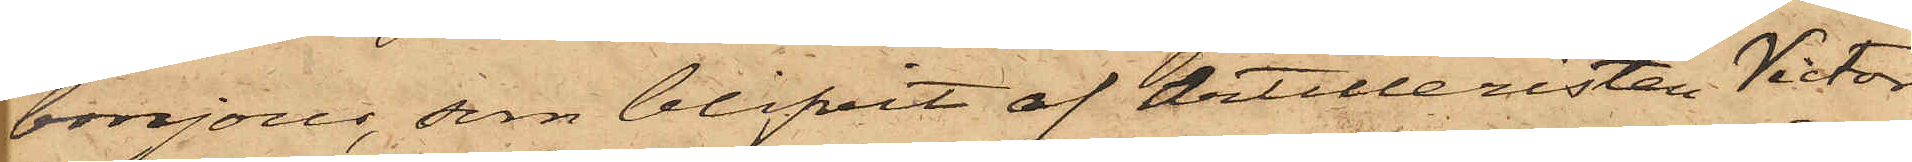bonjour, som blifvit af Artilleristen Victor
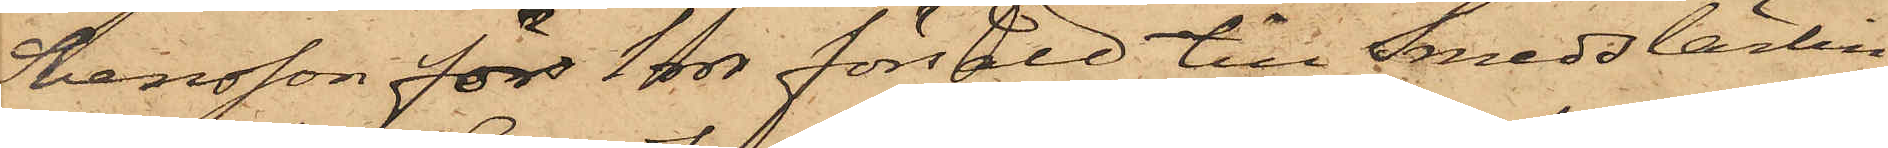Svensson för 1 rdr försåld till Smedslärlin¬
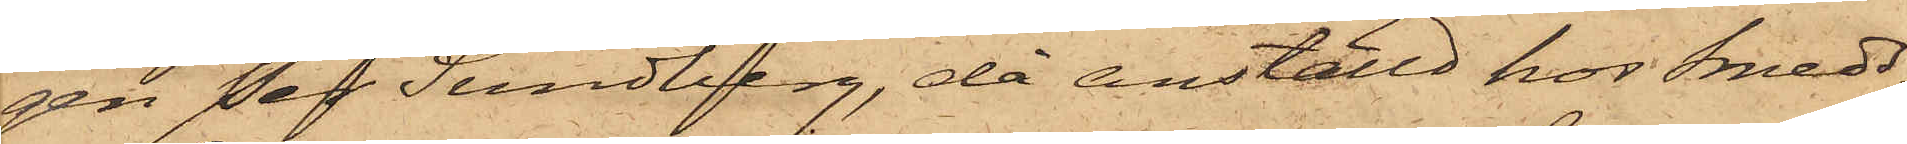gen Per Sundberg, då anställd hos Smeds¬
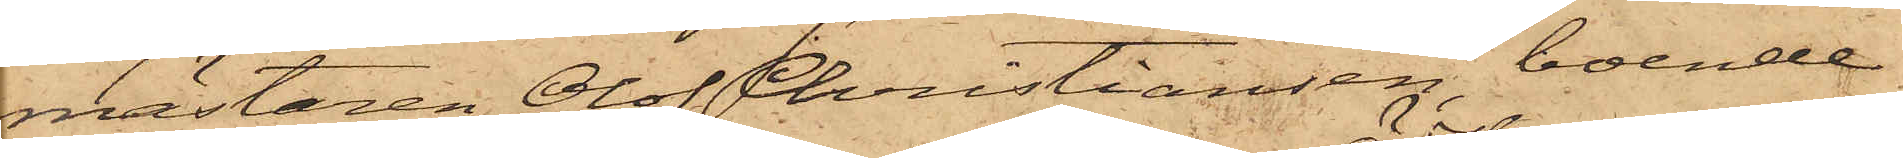mästaren Olof Christiansen, boende
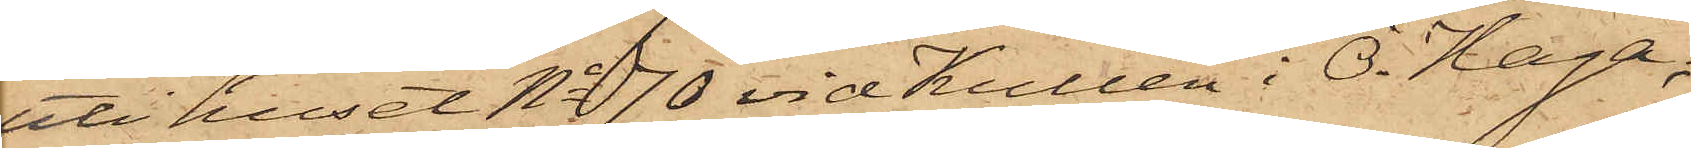uti huset No 70 vid Kullen i Ö. Haga,
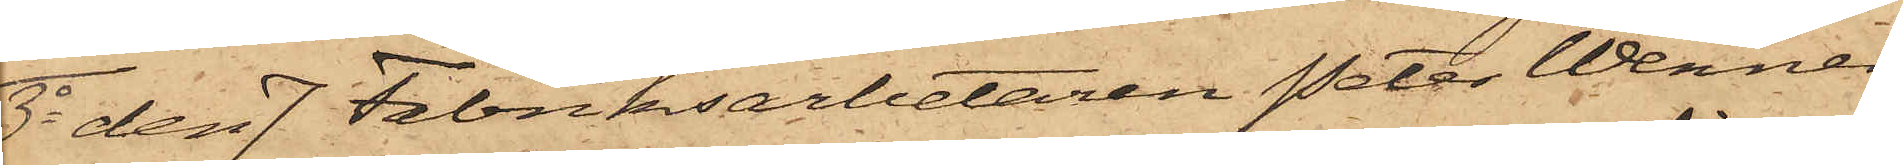3o den 7 Fabriksarbetaren Peter Wenner¬
